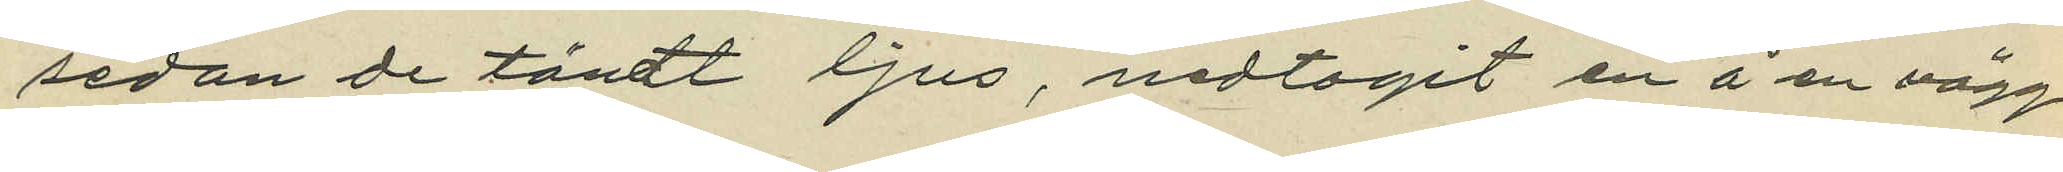sedan de tändt ljus, medtgit å en vägg
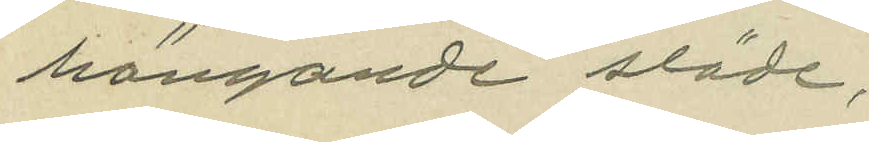hängande släde;
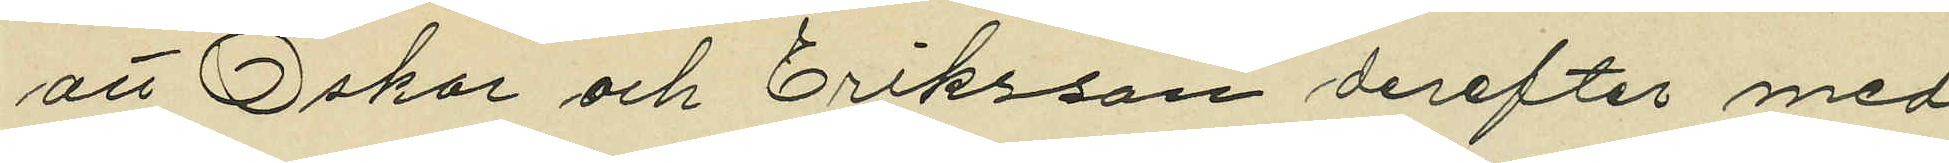att Oskar och Eriksson derefter med
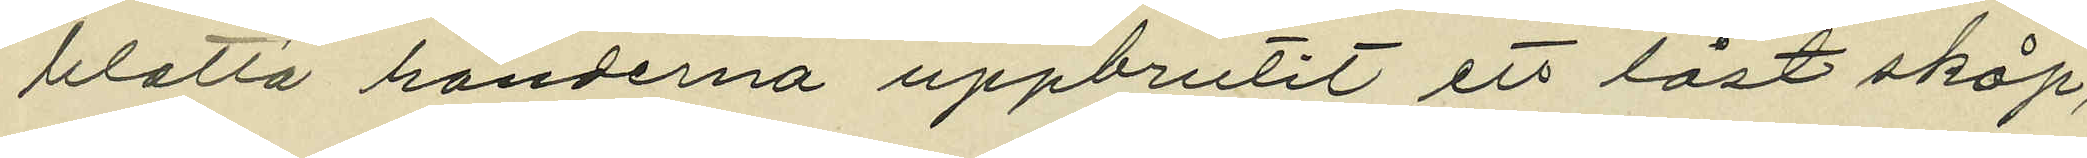blotta händerna uppbrutit ett låst skåp,
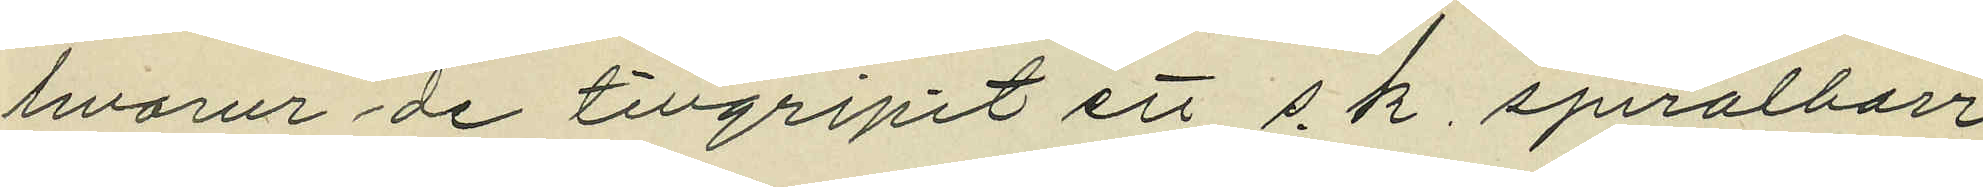hvarur de tillgripit ett s.k. spriralborr
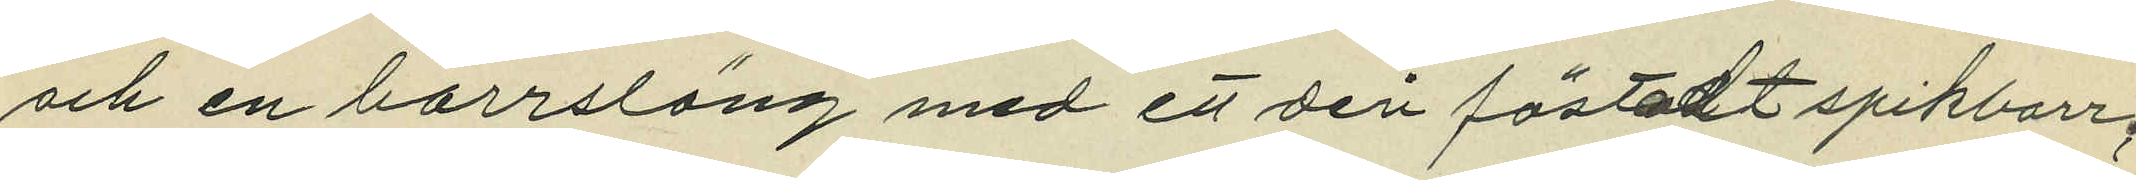och en borrsläng med ett deri fästadt spikborr;
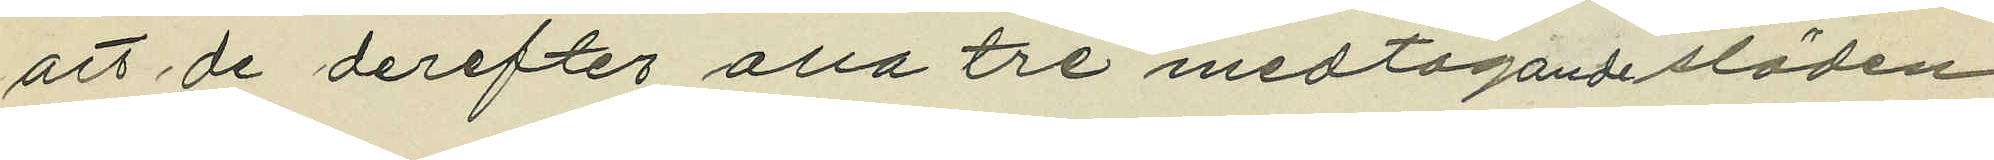att de derefter alla tre medtagande släden
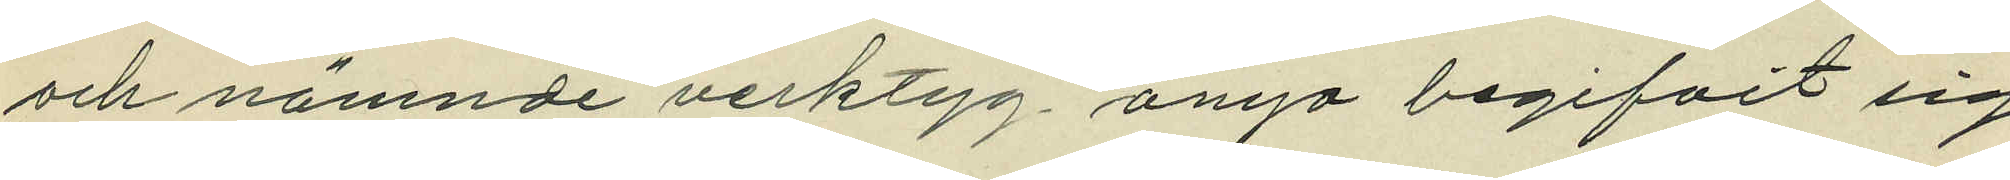och nämnde verktyg ånyo begifvit sig
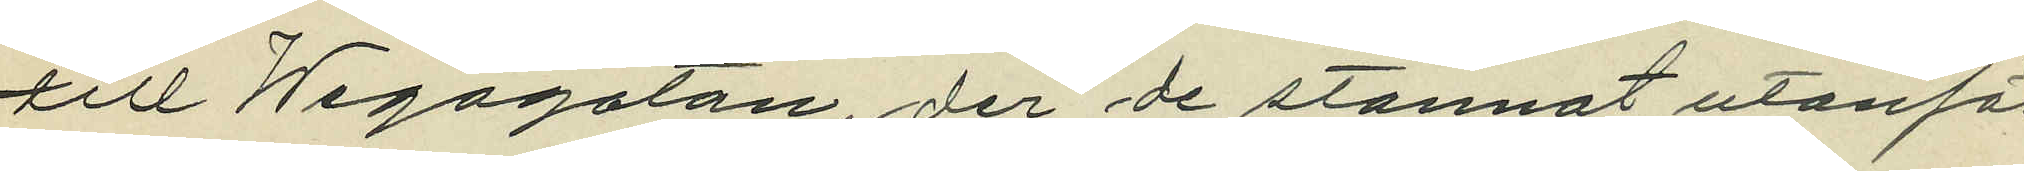till Wegagatan, der de stannat utanför
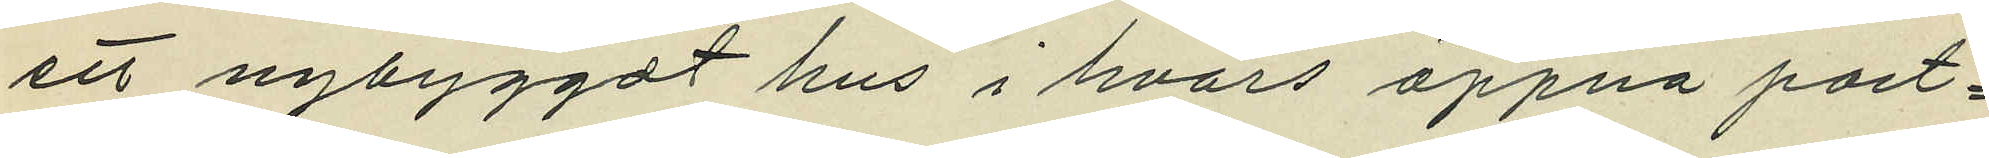ett nybyggdt hus i hvars öppna port¬
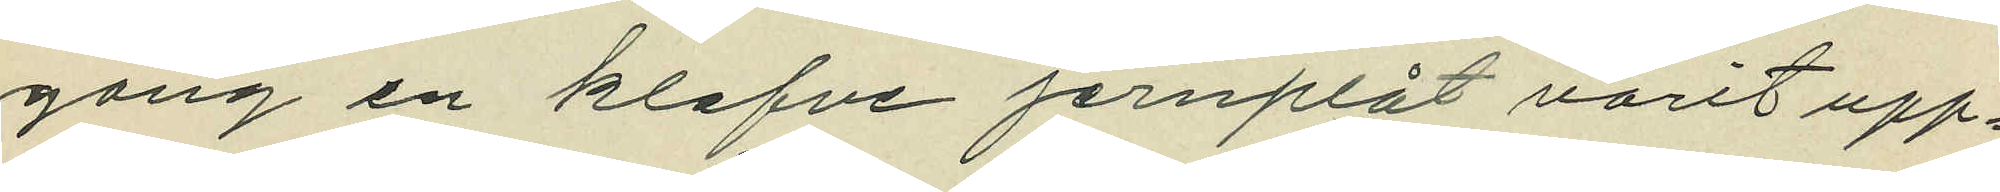gång en klafve jernplåt varit upp¬
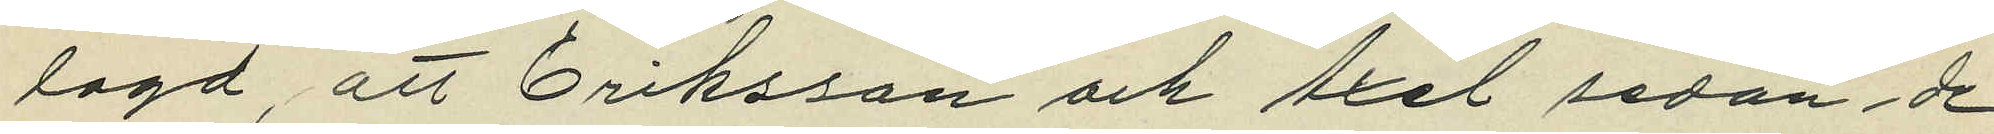lagd, att Eriksson och Axel sedan, de
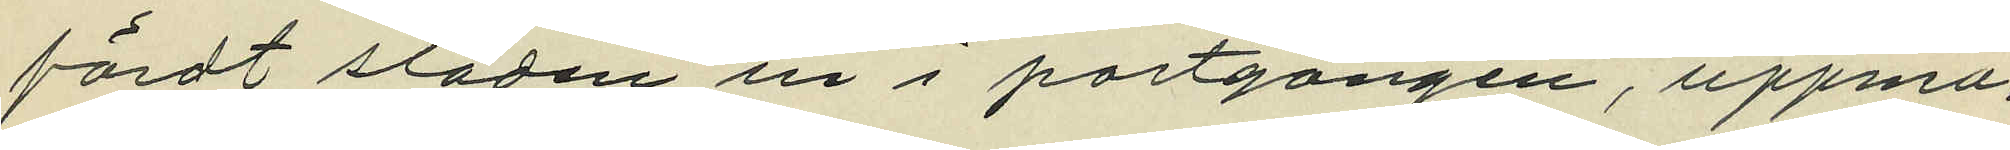fördt släden in i portgången, uppma¬
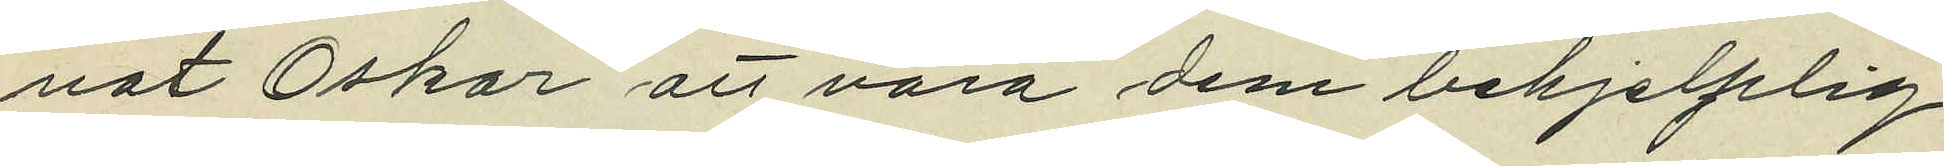nat Oskar att vara dem behjelplig
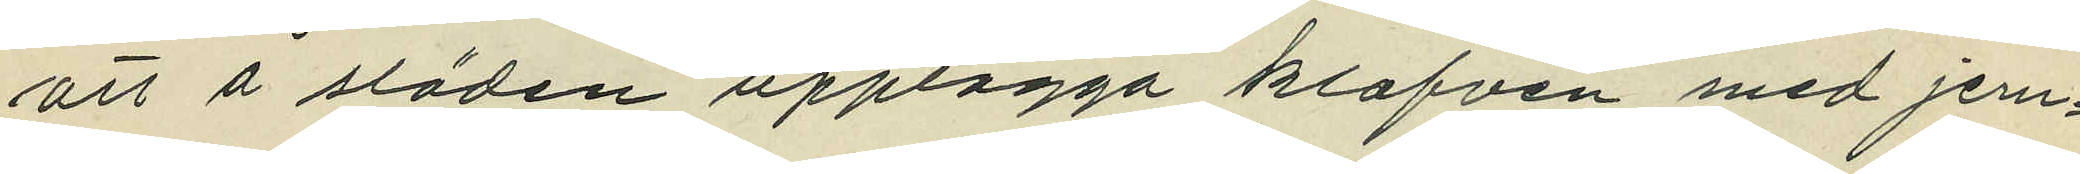att å släden upplägga klafven med jern¬
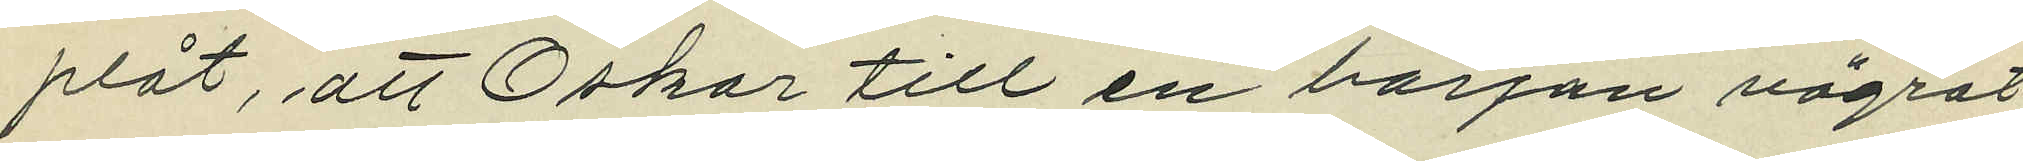plåt, att Oskar till en början vägrat,
